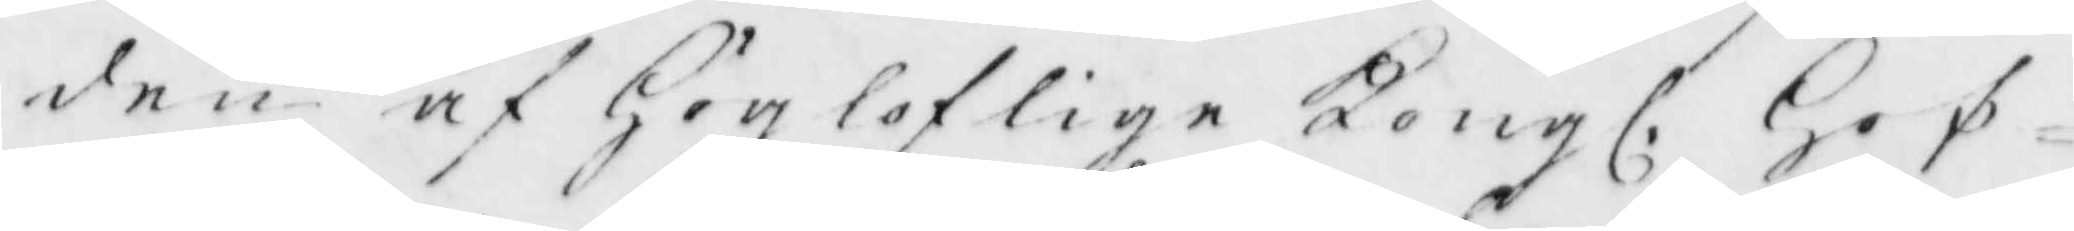den af Högloflige Kongl. Hof¬
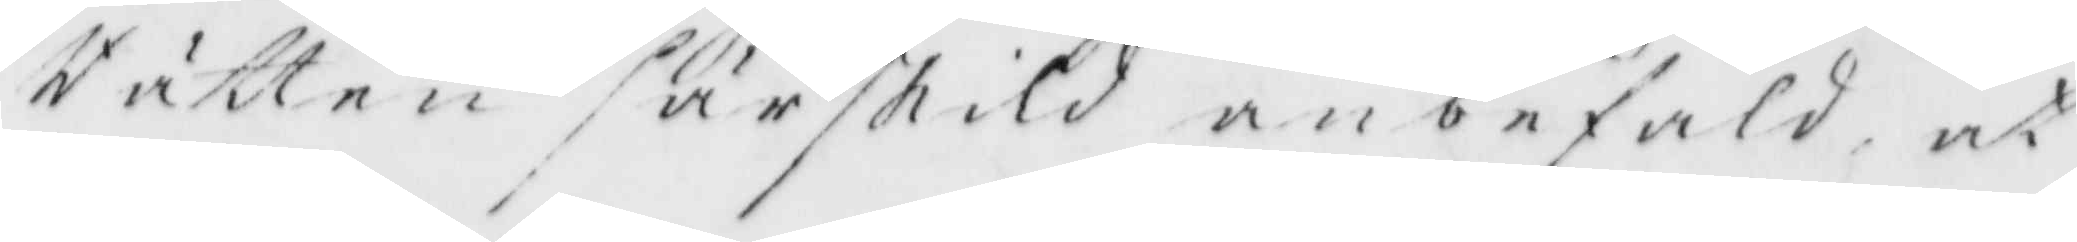Rätten särskild anbefald at 
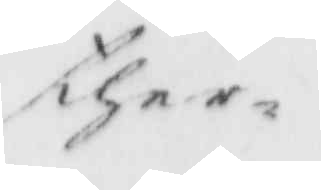ther¬
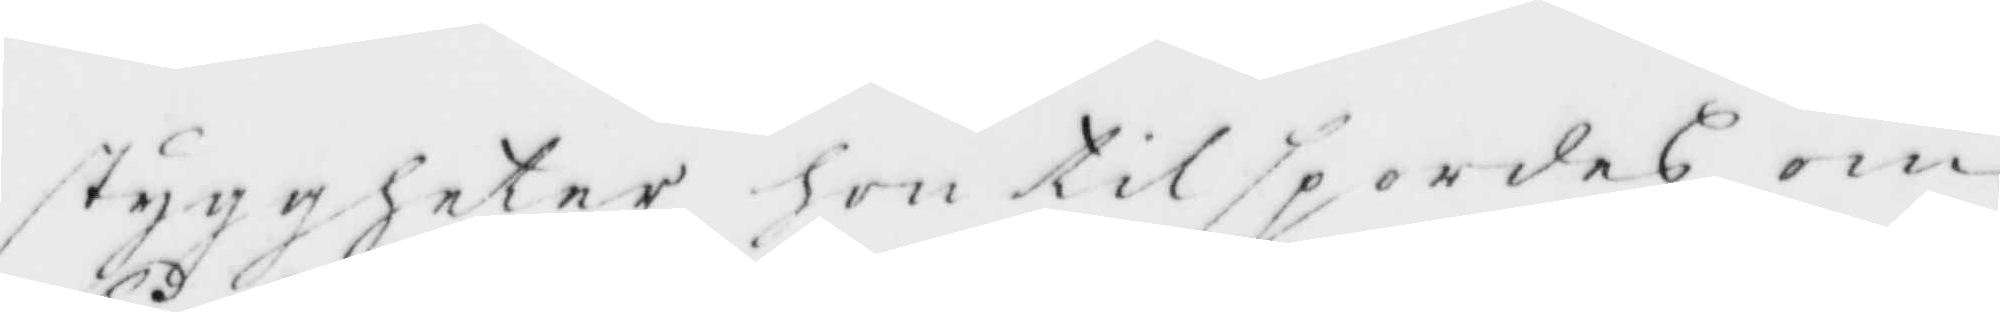styggheter hon tilspordes om
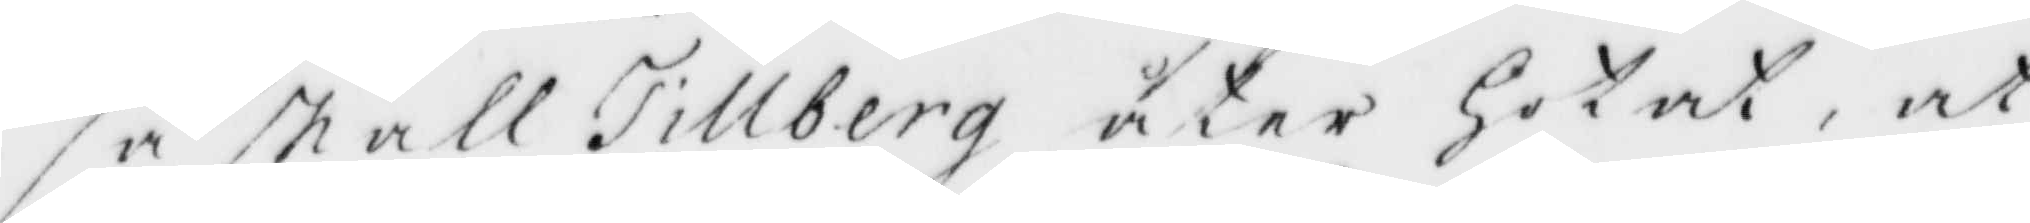så skall Tillberg åter Hotat, at
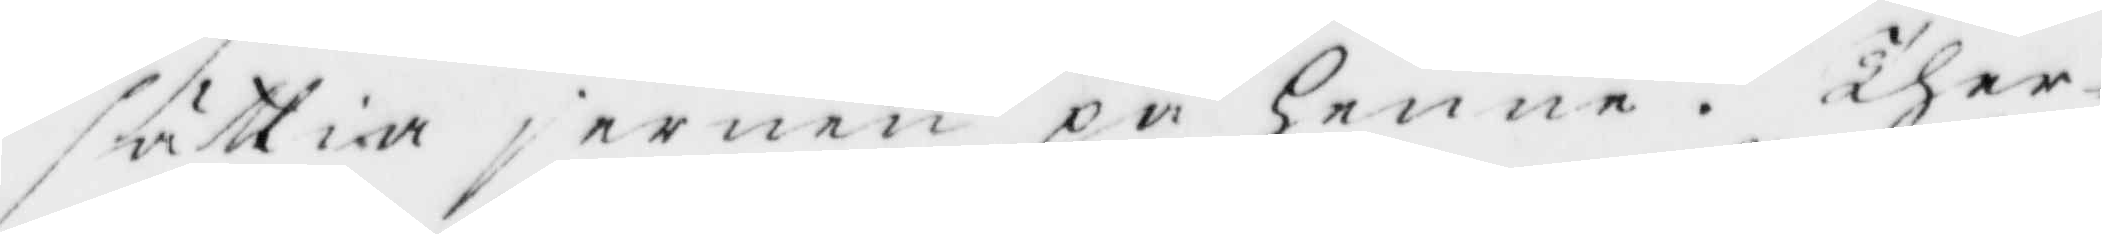sättia jernen på Henne. ther¬
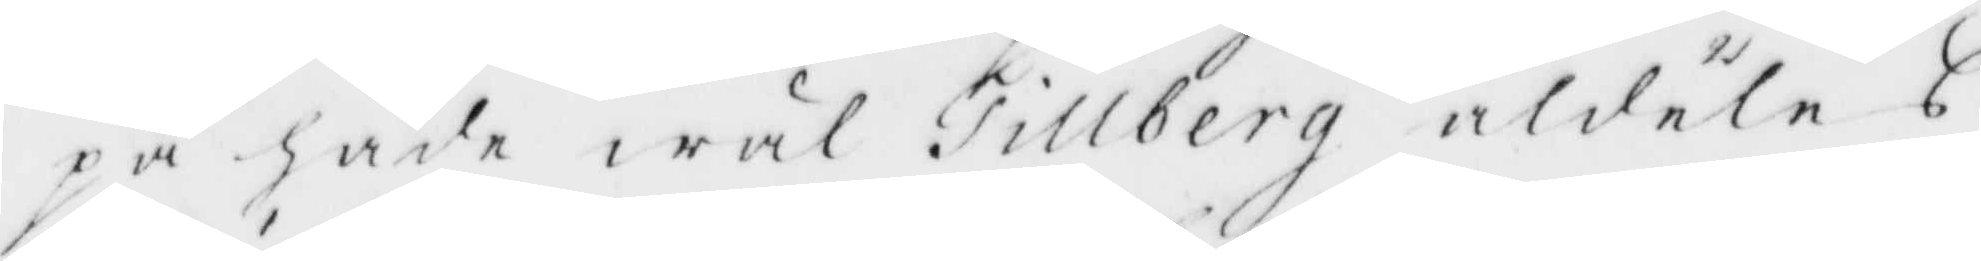på hade wäl Tillberg aldeles
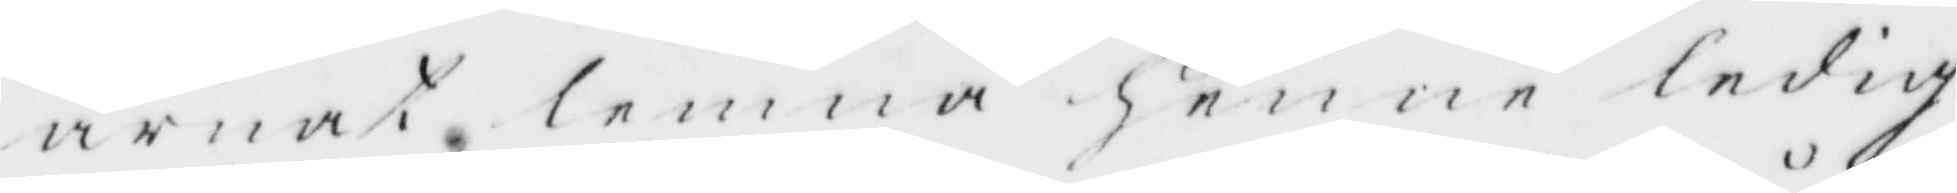ärnat lemna henne ledig
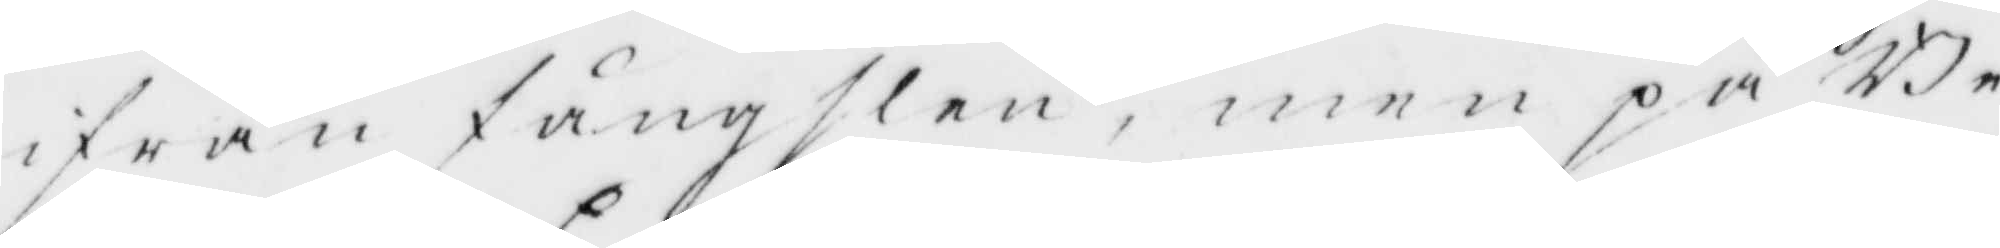ifrån fångslen, men på Be¬
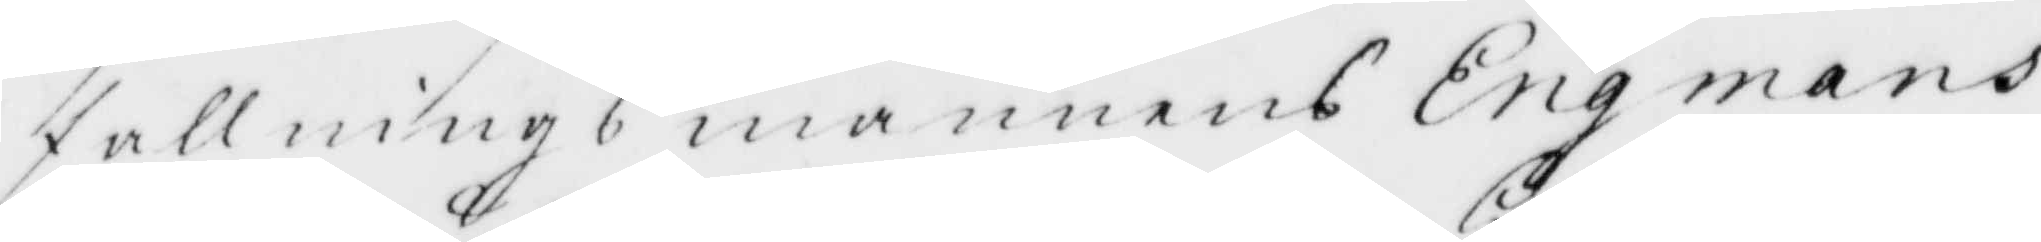fallnings mannens Engmans
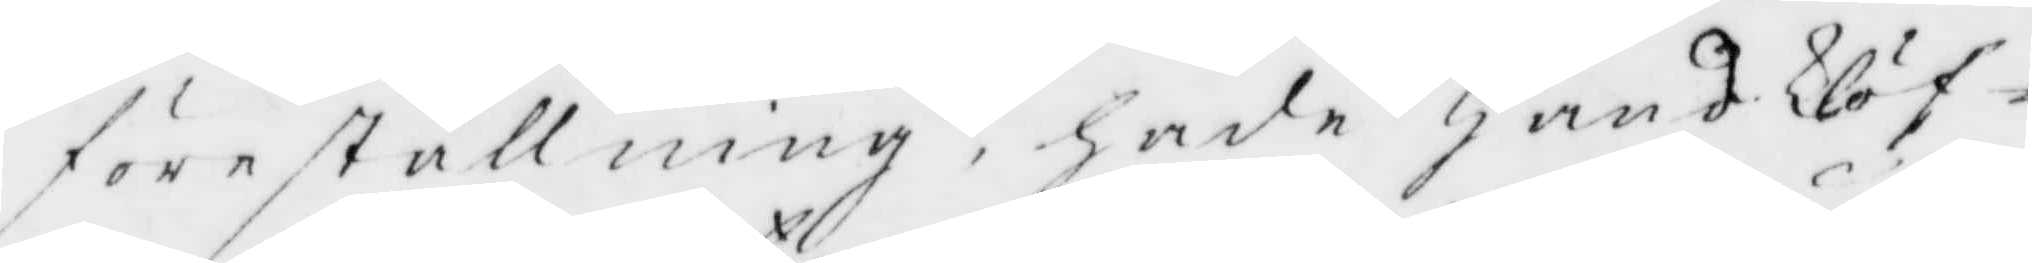föreställning, hade handklöf¬
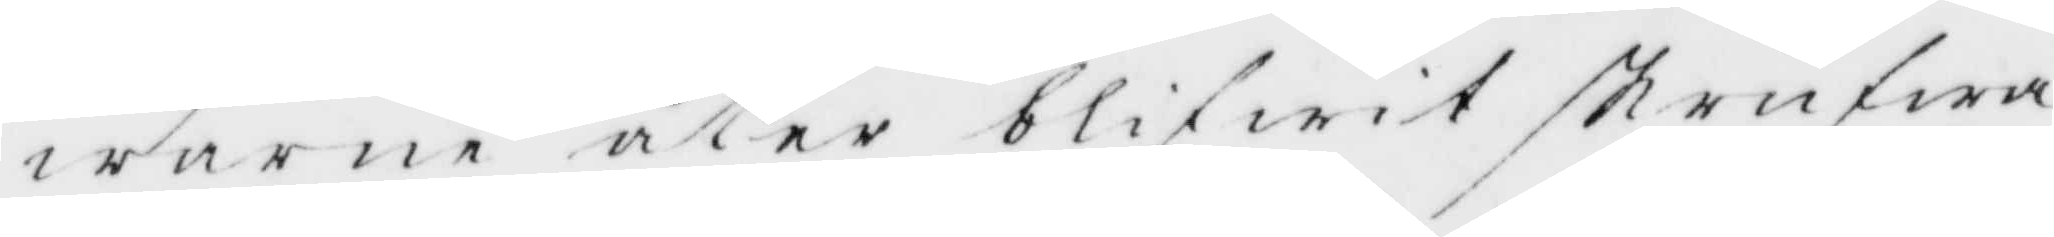warne åter blifwit skrufwa¬
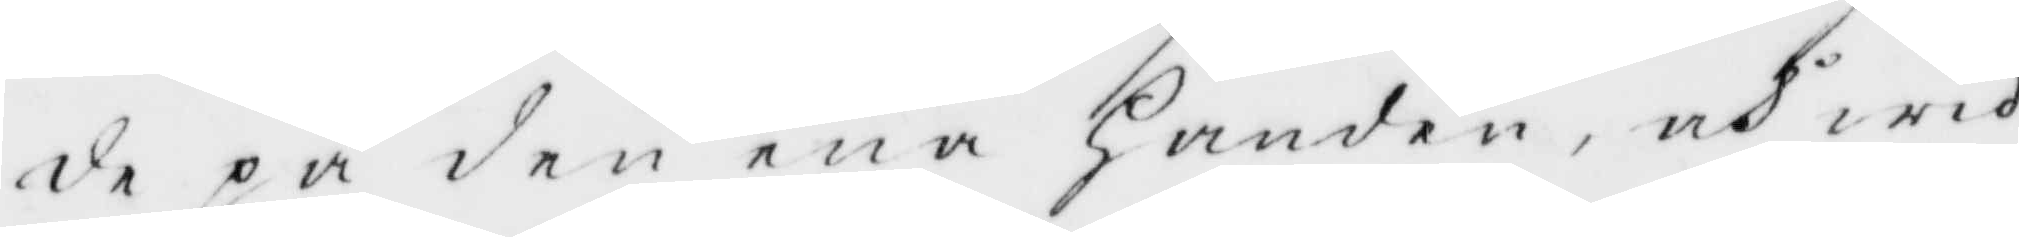de på den ena Handen, och wid
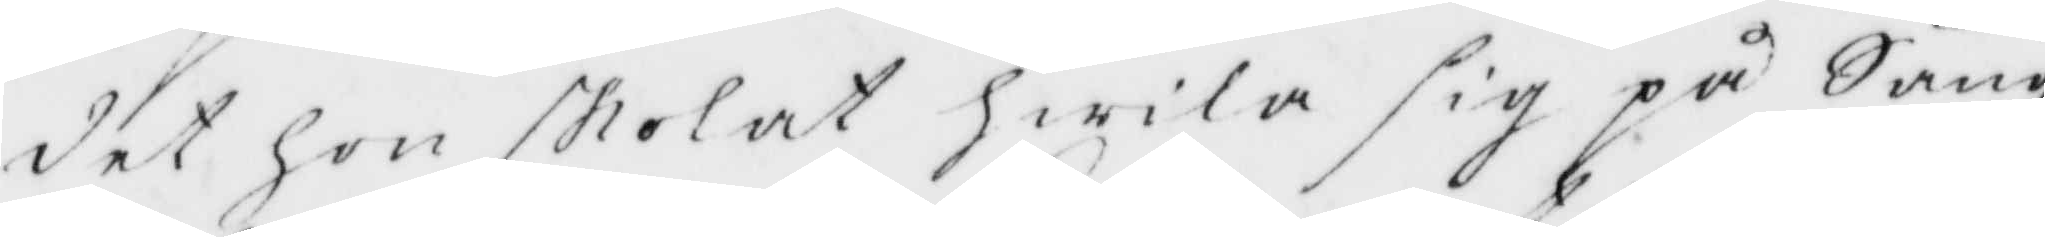det hon skolat hwila sig på Säng¬
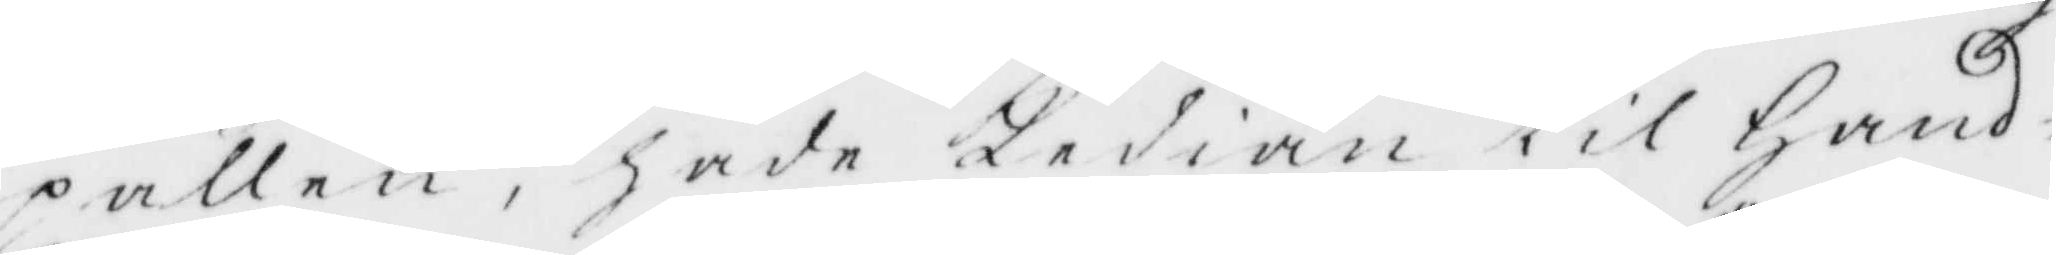pallen, hade Kedian til Hand¬
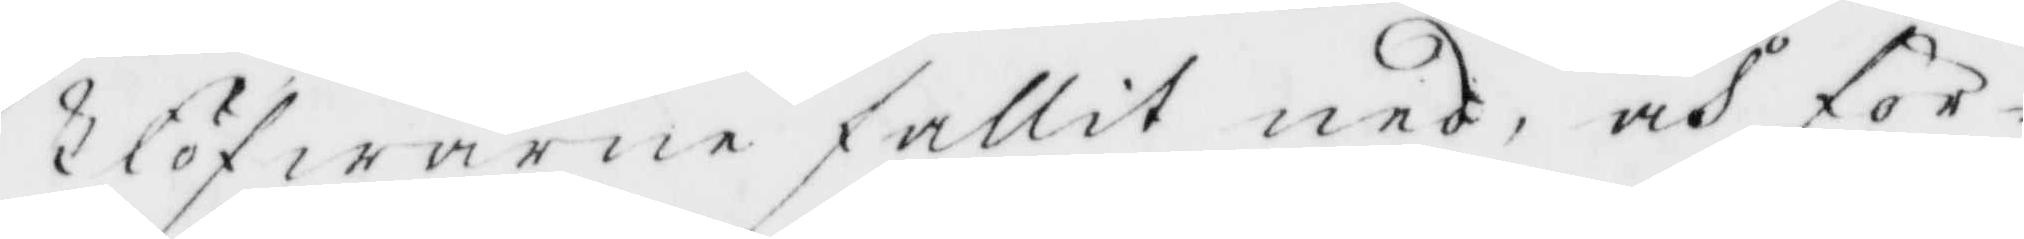klöfwarne fallit ned, och för¬
